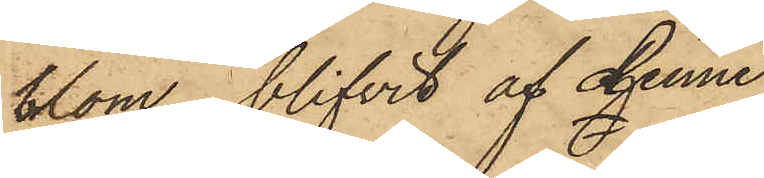blom, blifvit af denne
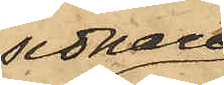sednare
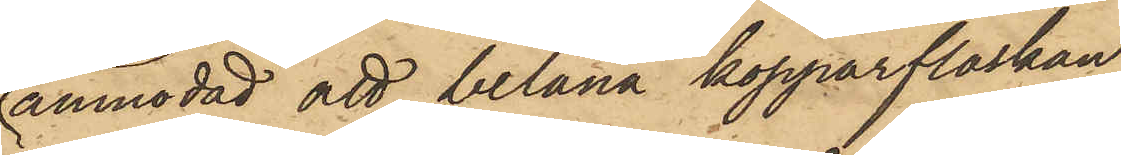anmodad att belåna kopparflaskan,
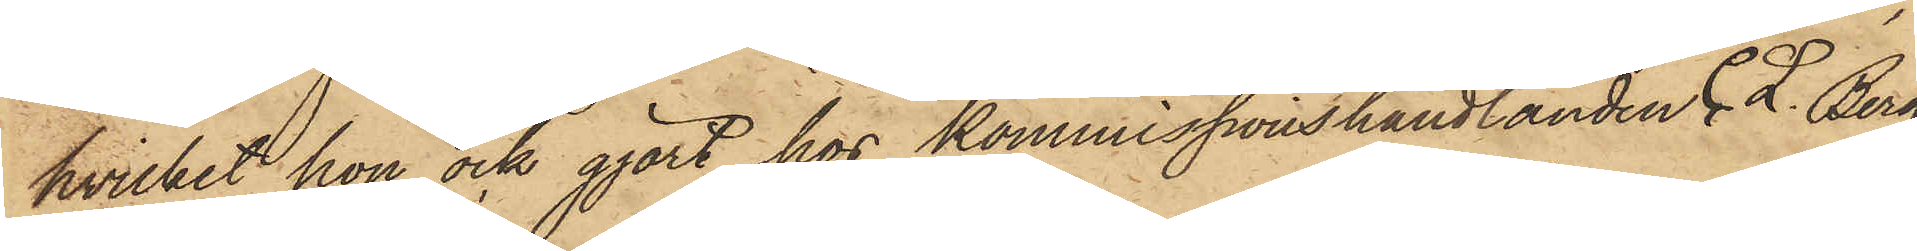hvilket hon ock gjort hos kommissionshandlanden C. L. Berg,
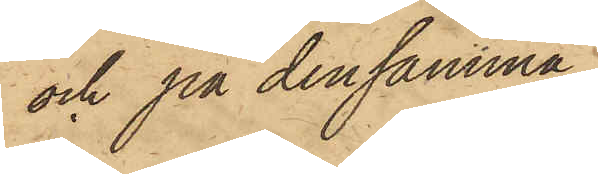och på densamma,
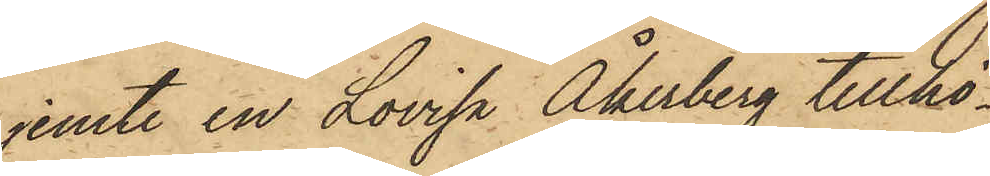jemte en Lovisa Åkerberg tillhö¬
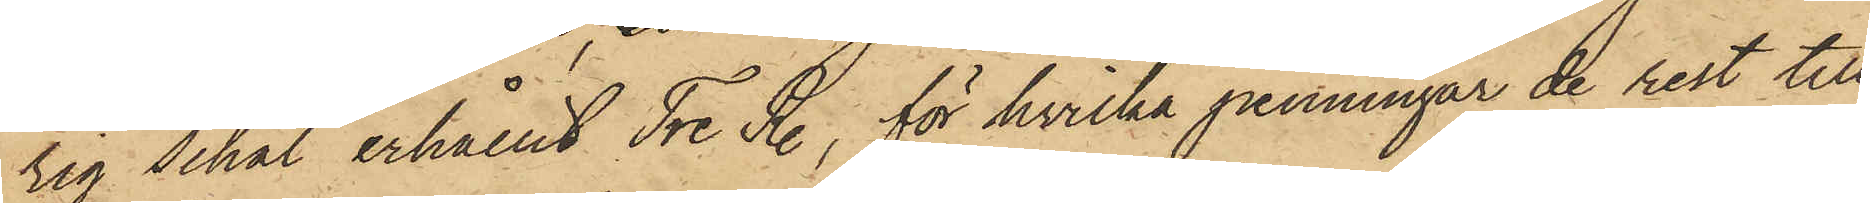rig schal erhållit Tre R., för hvilka penningar de rest till
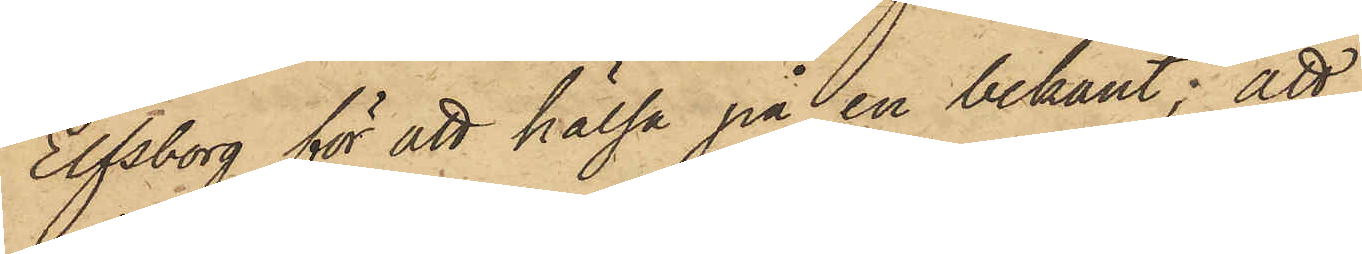Elfsborg för att hälsa på en bekant; att
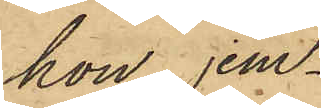hon, jem¬
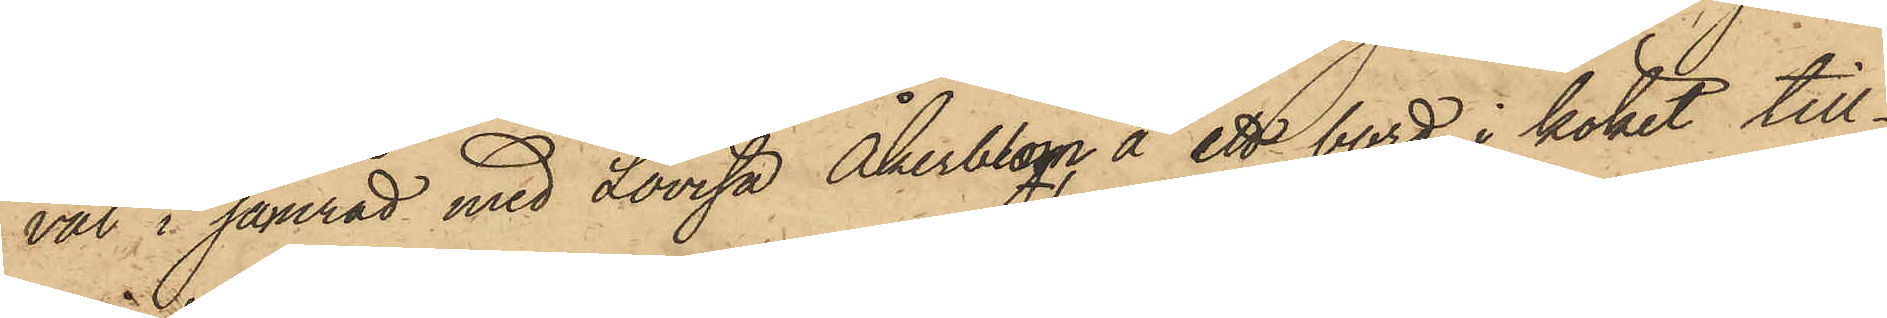väl i samråd med Lovisa Åkerblom å ett bord i köket till¬
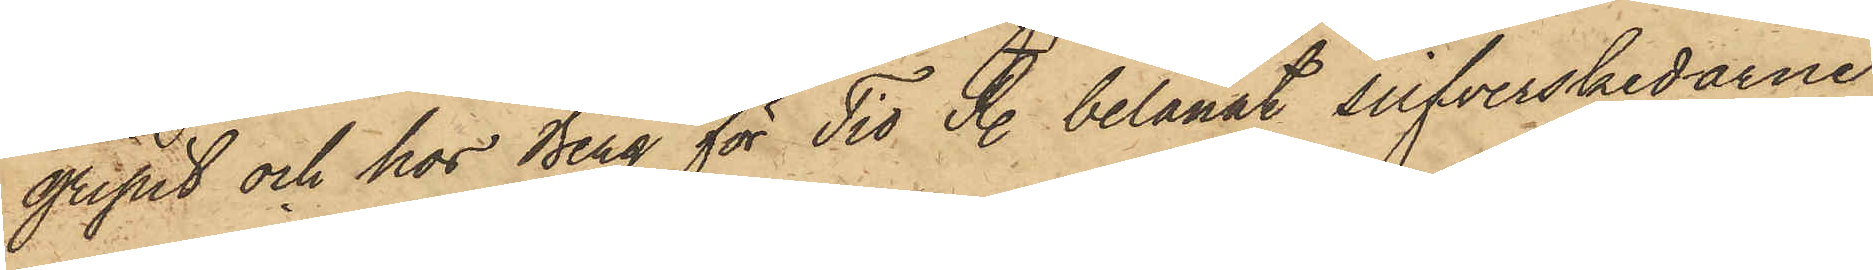gripit och hos Berg för Tio R. belånat silfverskedarne;
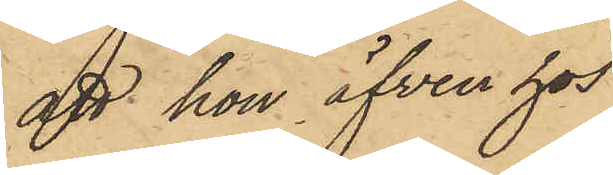att hon äfven hos
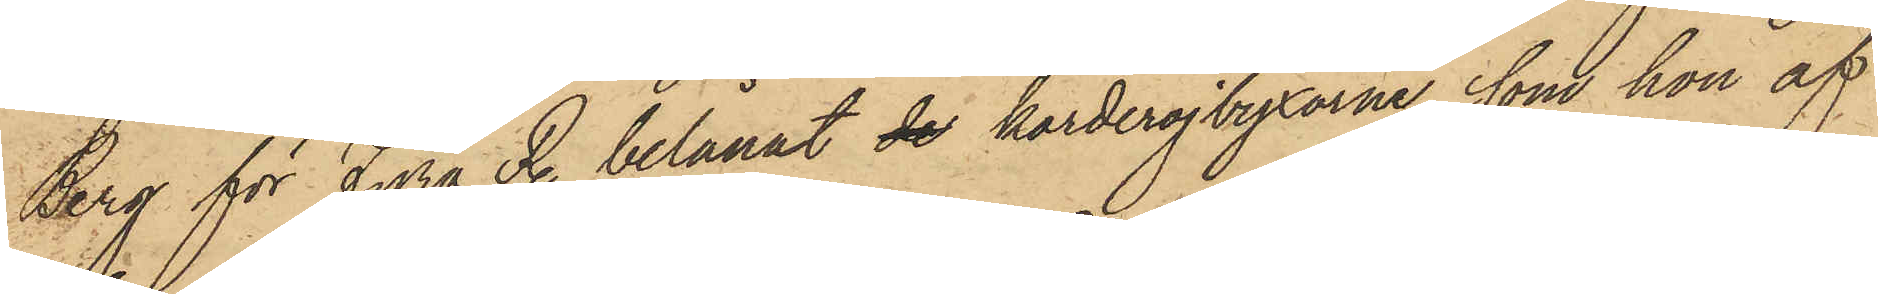Berg för Fyra R. belånat de korderojbyxorna, som hon af
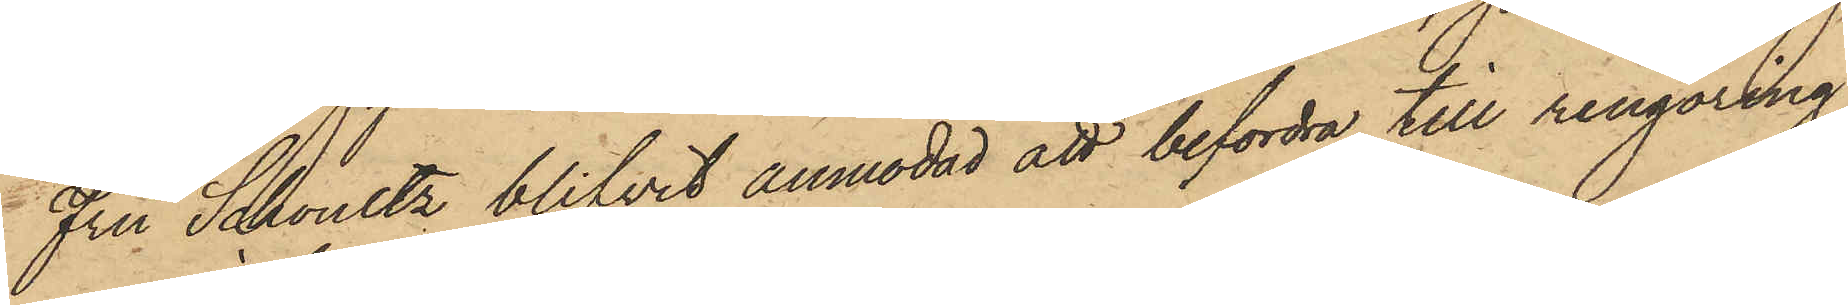Fru Schoultz blifvit anmodad att befordra till rengöring;
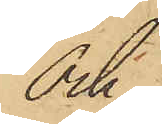Och
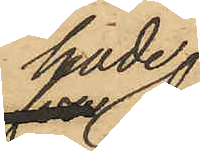hade
